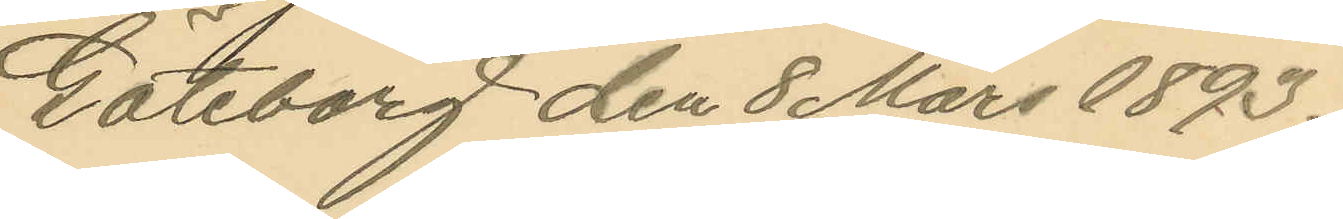Göteborg den 8 Mars 1893.
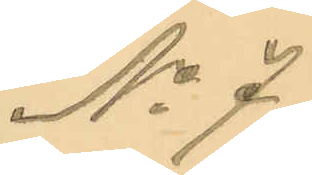No 7.
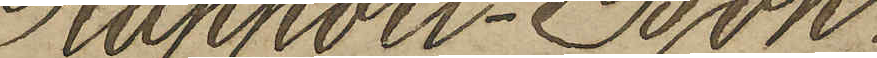Rapport-Bok.
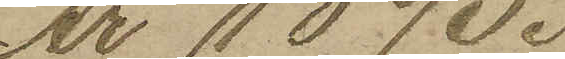År 1893.
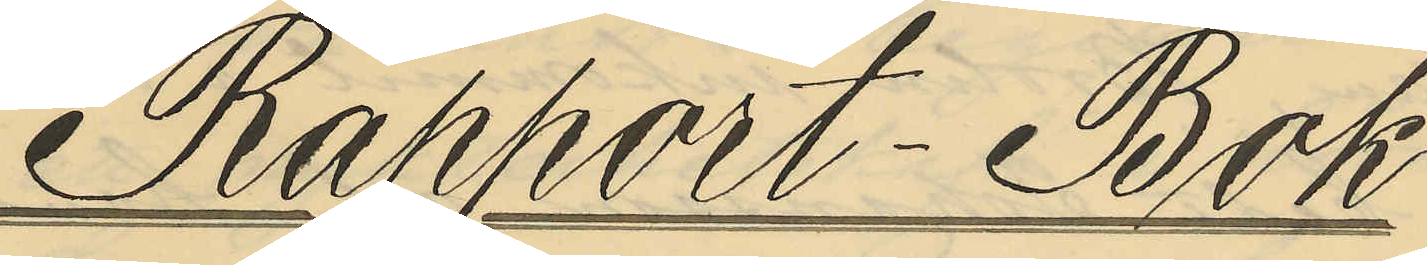Rapport-Bok
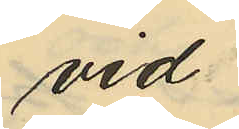vid
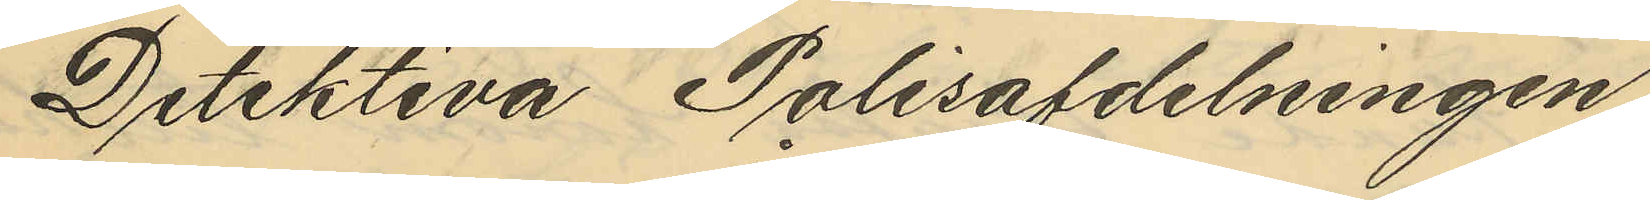Detektiva Polisafdelningen
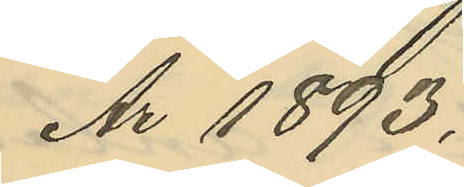Ar 1893.
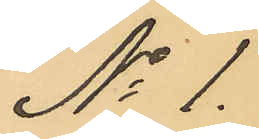No 1.
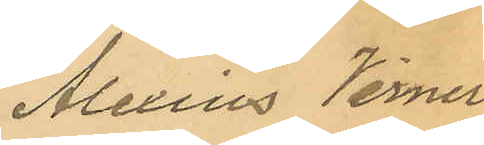Alexius Verner
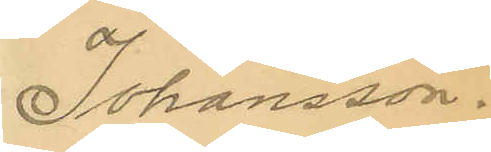Johansson.
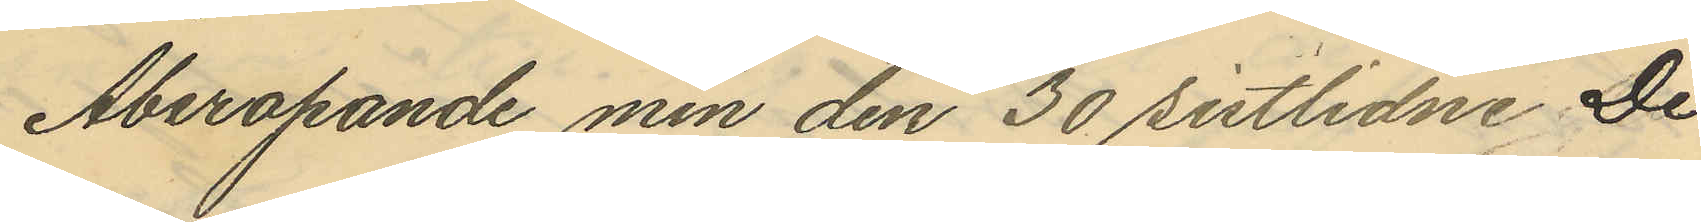Åberopande min den 30 sistlidne De¬
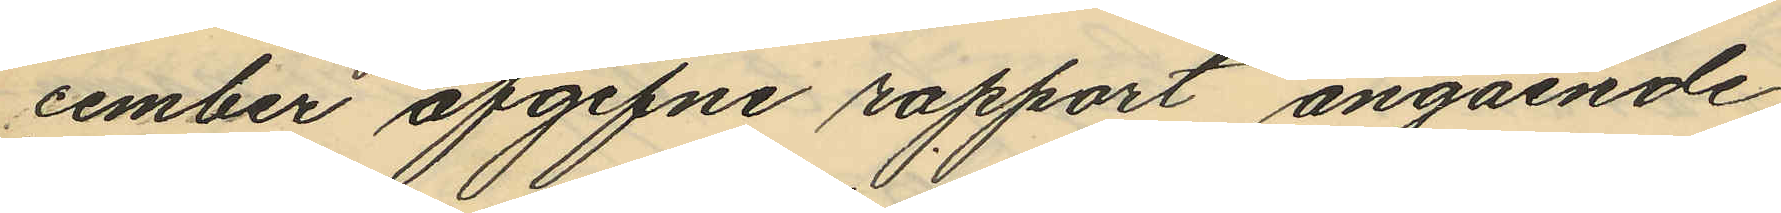cember afgifne rapport angående
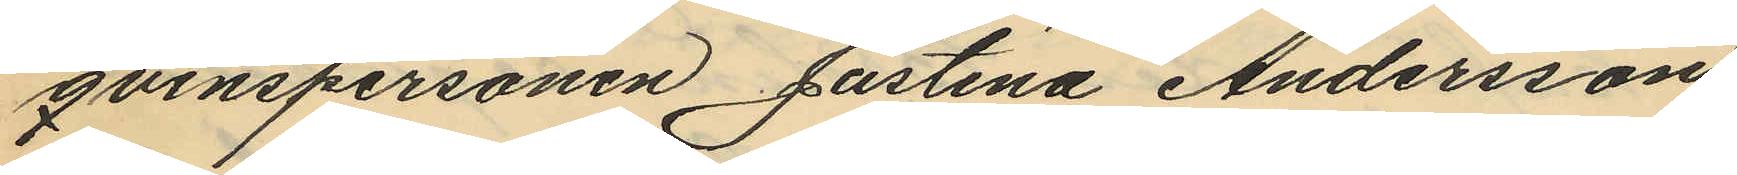qvinspersonen Justina Andersson
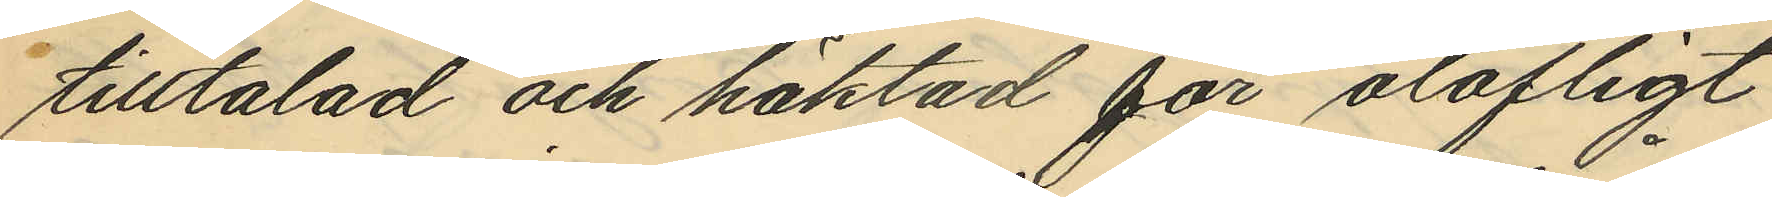tilltalad och häktad för olofligt
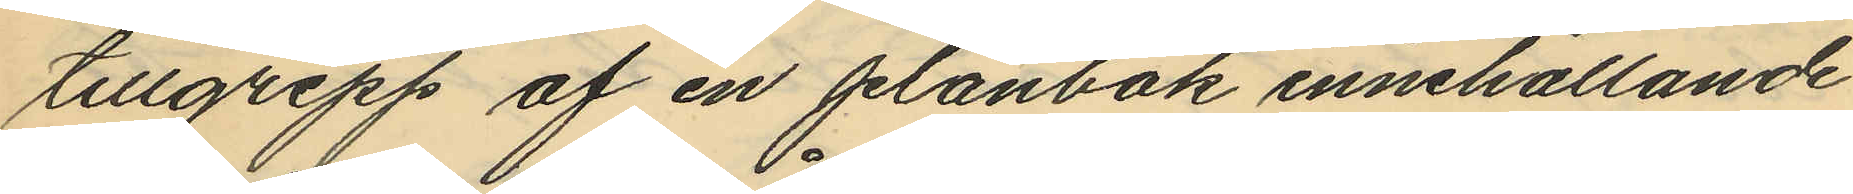tillgrepp af en plånbok innehållande
